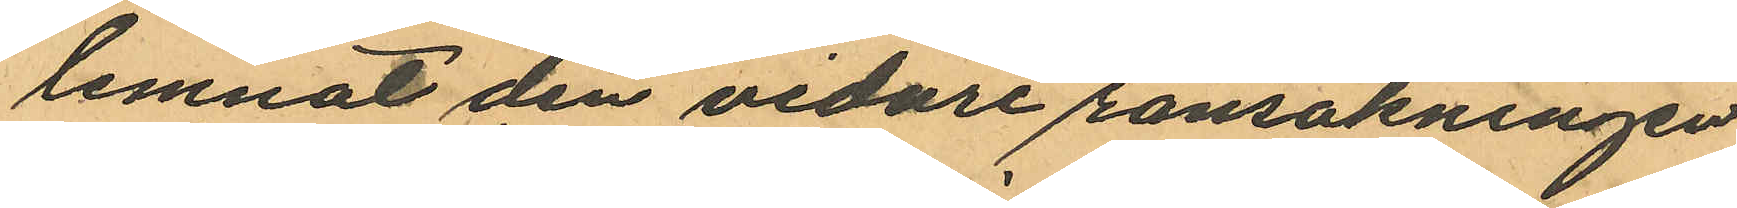lemnat den vidare ransakningen
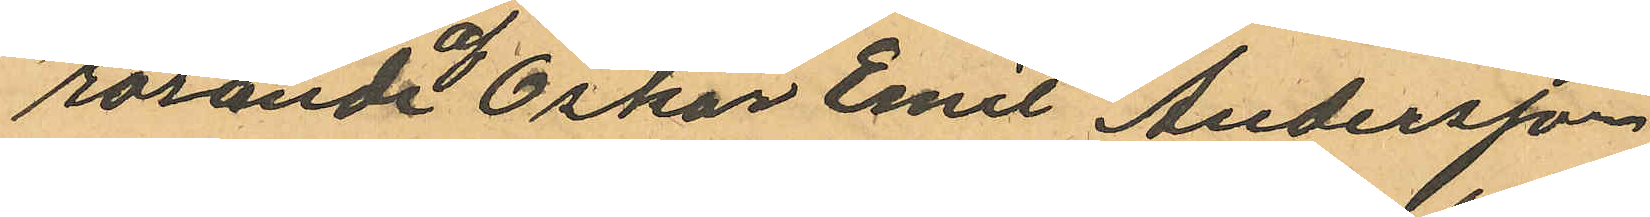rörande af Oskar Emil Andersson
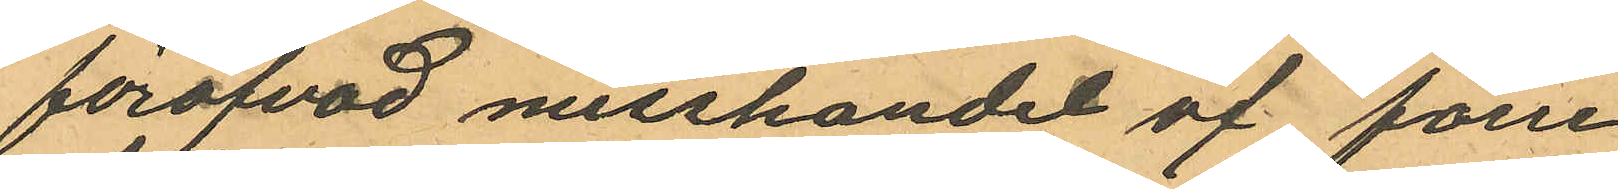föröfvad misshandel af förre
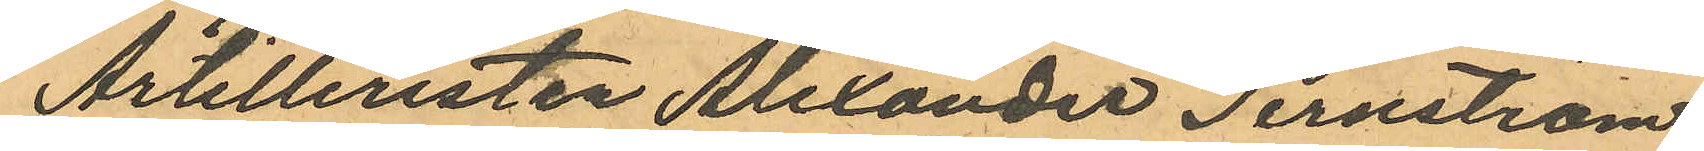Artilleristen Alexander Ternström.
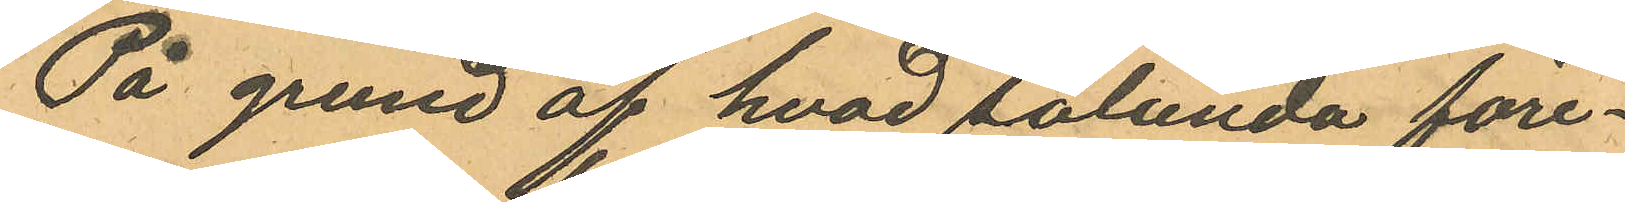På grund af hvad sålunda före¬
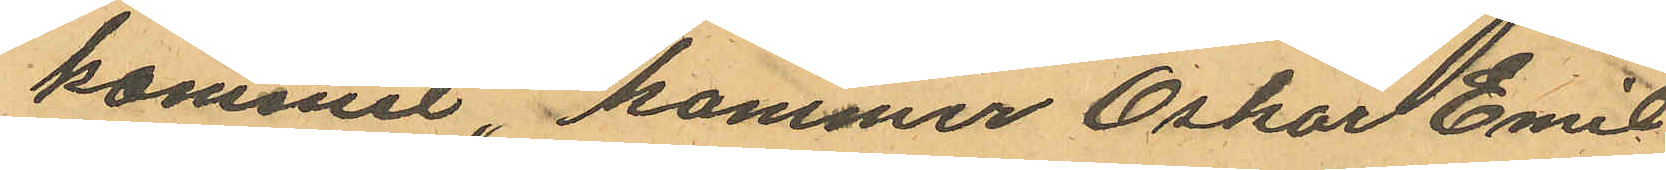kommit, kommer Oskar Emil
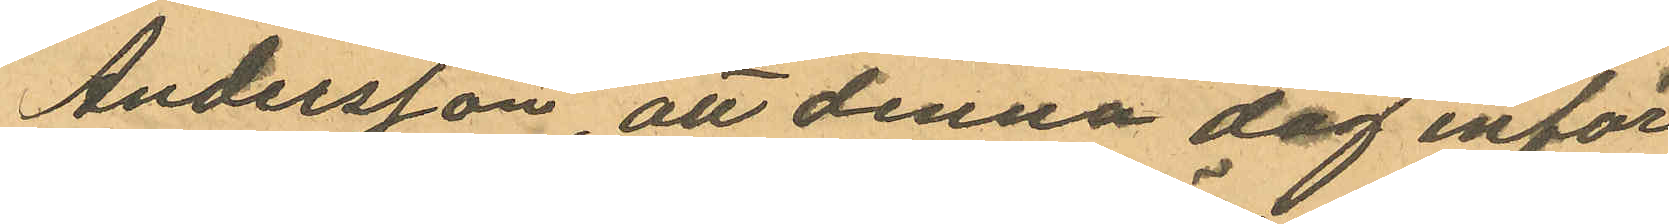Andersson, att denna dag inför
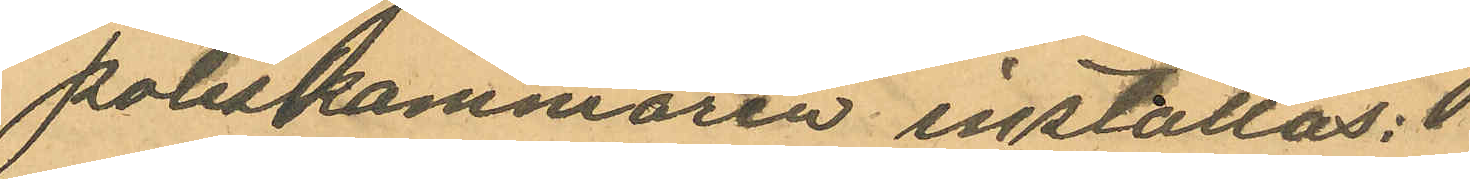poliskammaren inställas;
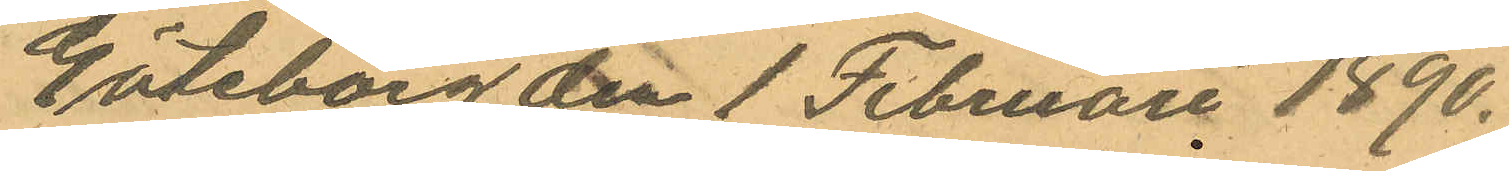Göteborg den 1 Februari 1890.
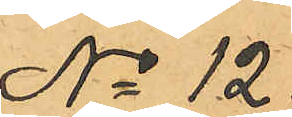No 12.
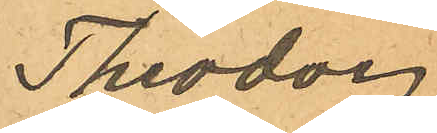Theodor
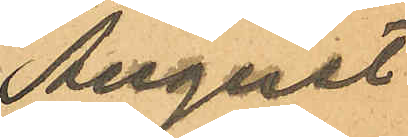August
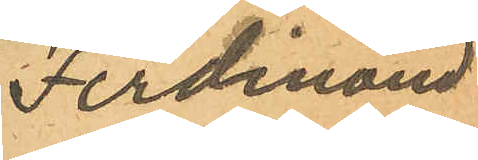Ferdinand
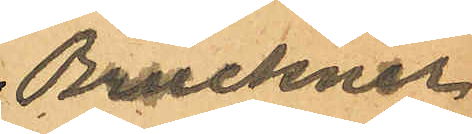Bruckner
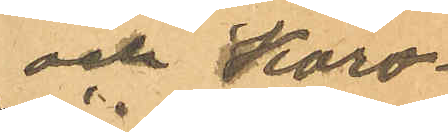och Karo¬
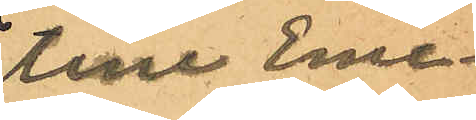line Eme¬
